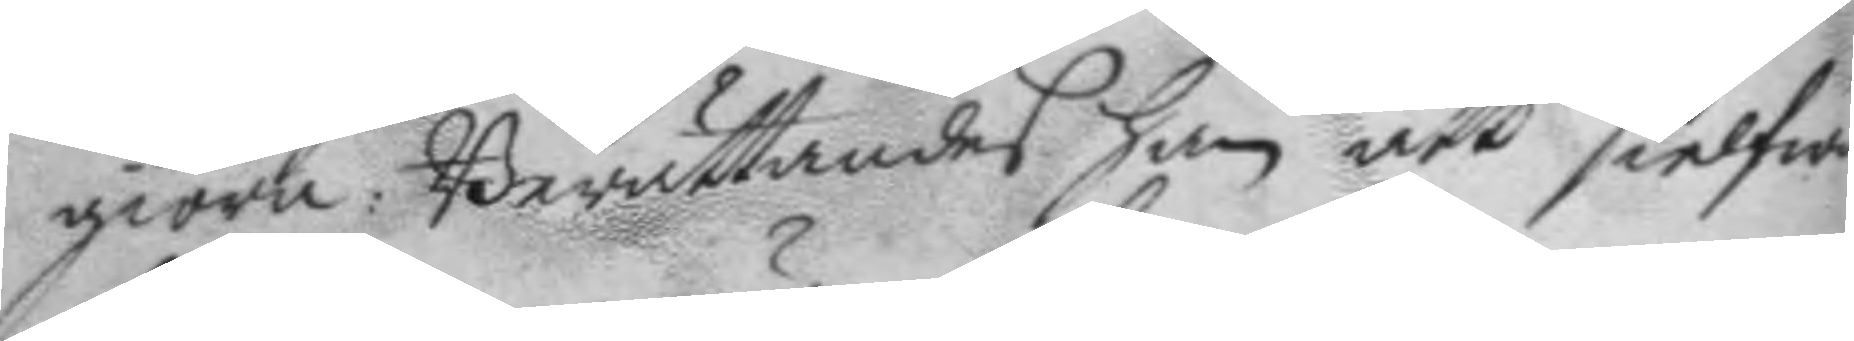giöra: Berättandes han att sielfwa
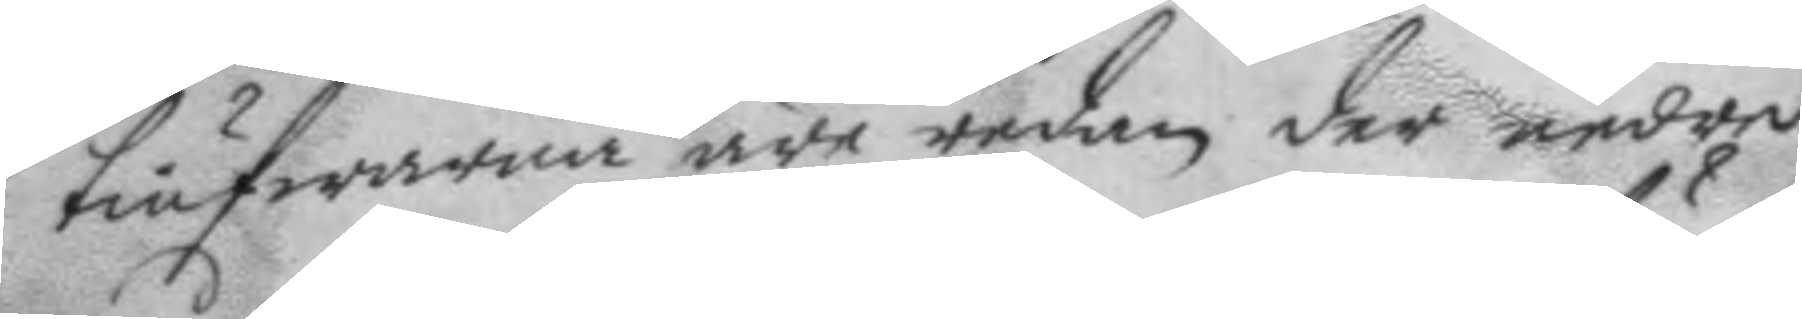tiufwarna äre redan der nedre
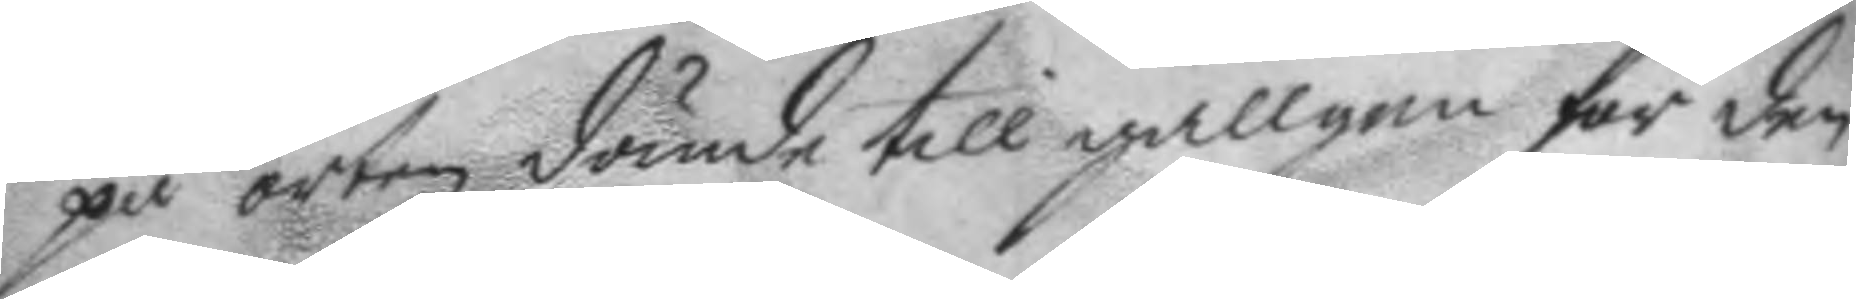på orten dömde till gallgen för den¬
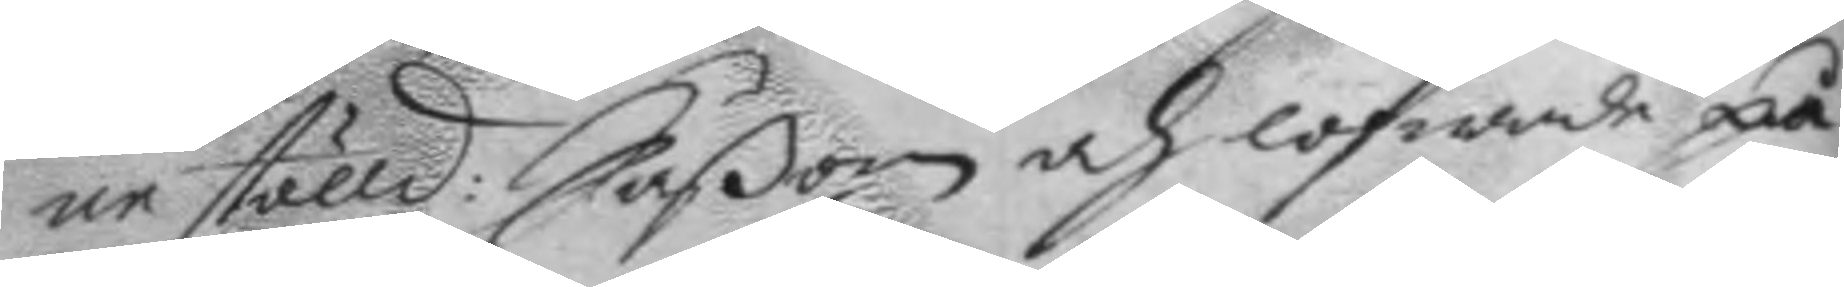ne stölld: Såßon och lofwade på
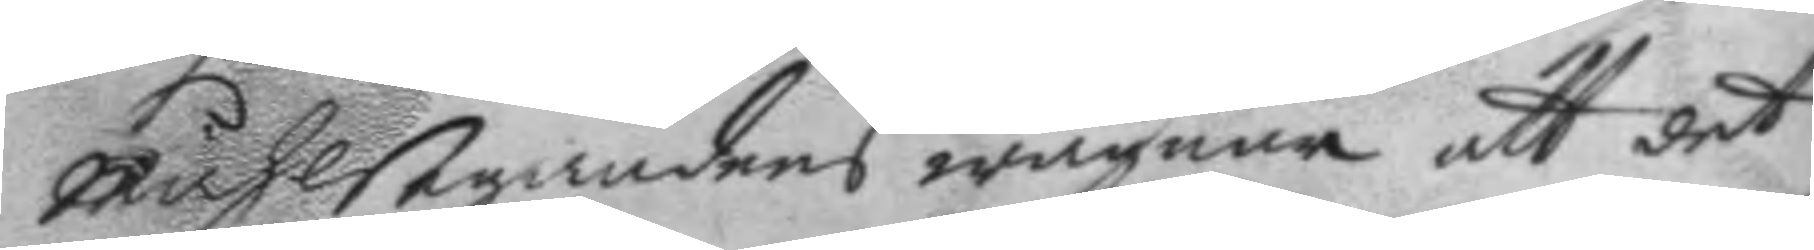måhlsegandens wägnar att det
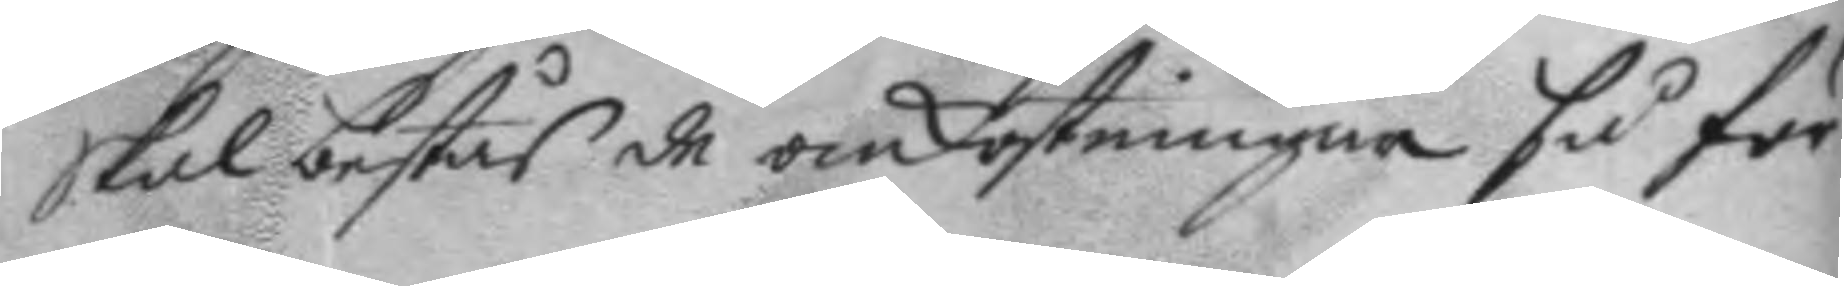skal bestås de omkostninar så för
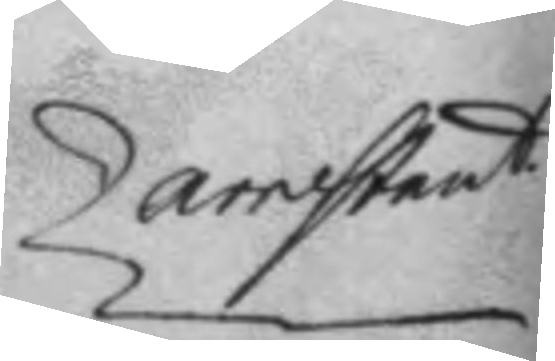arrestant
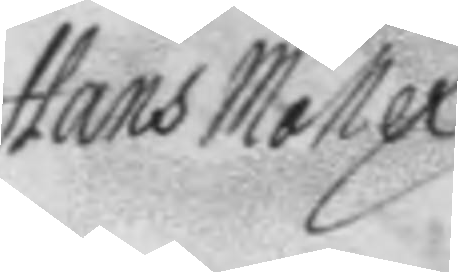Hans Möller
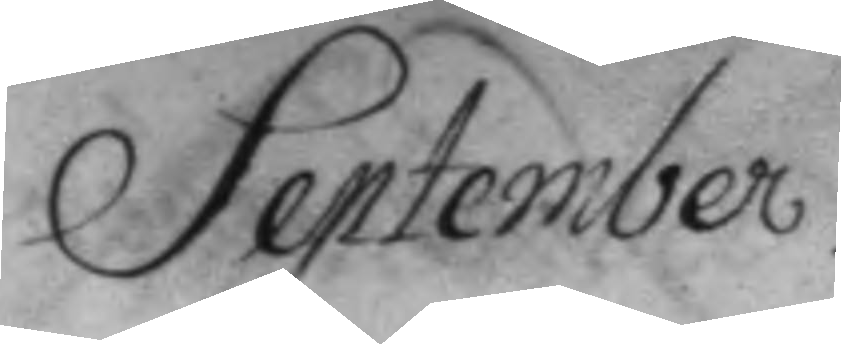September.
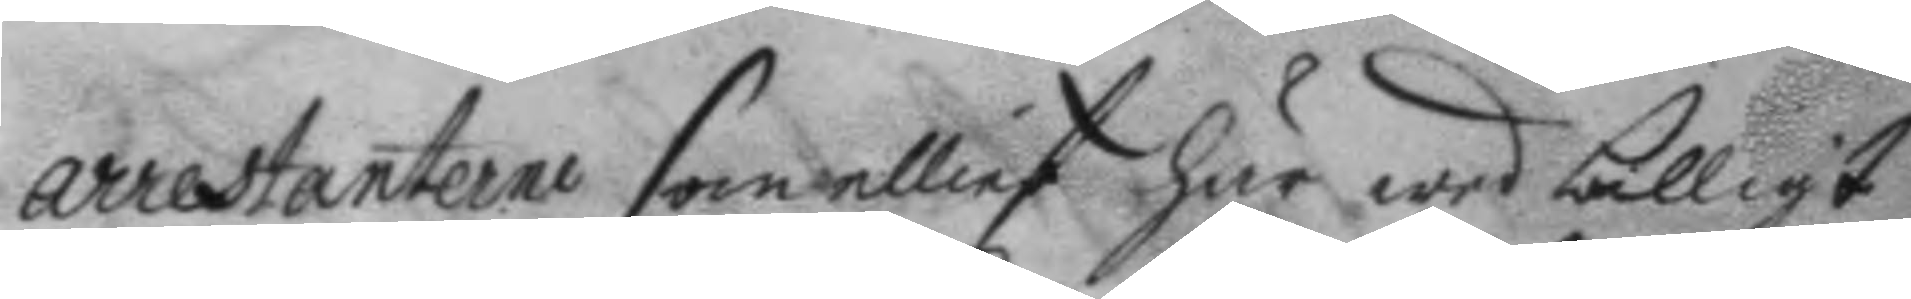arrestanterne som elliest här wed billigt
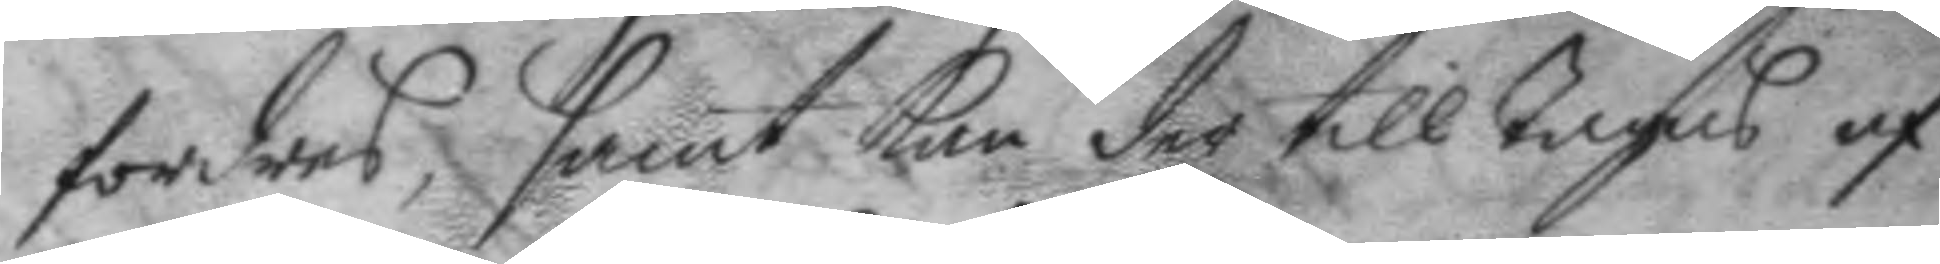fordras, samt kan der till tagas af
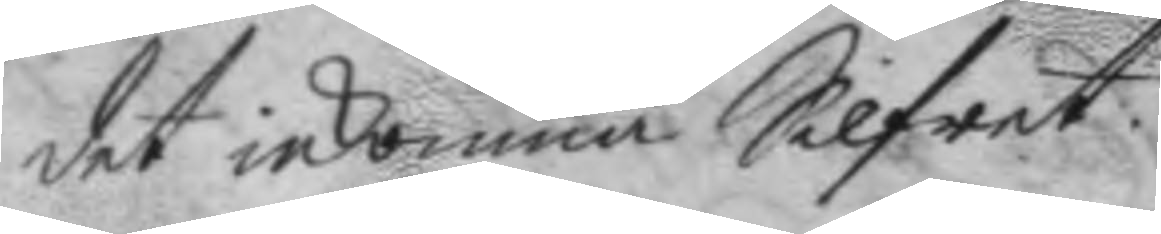det inkomna Silfret.
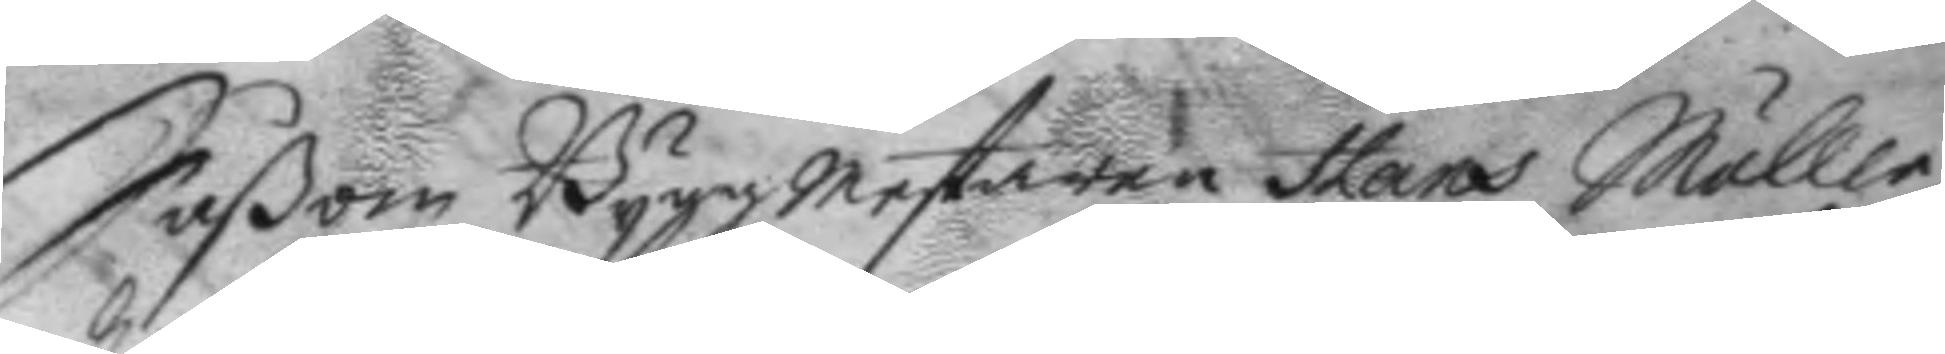Såßom Byggmestaren Hans Möller
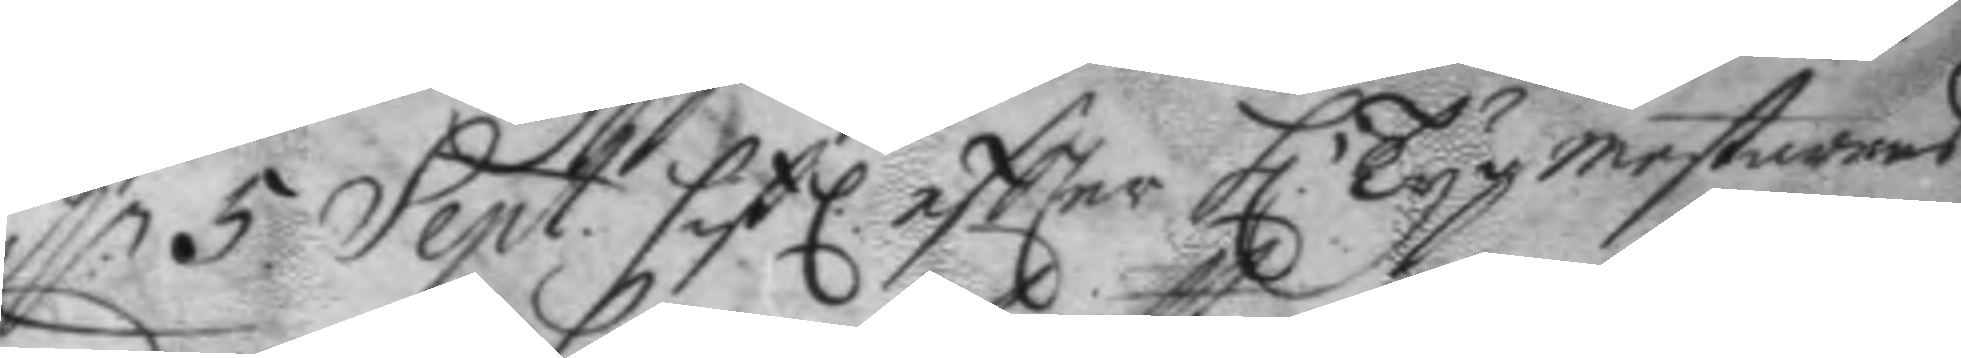d:n 5 Sept. sistl: eftter h. Tygmestarens
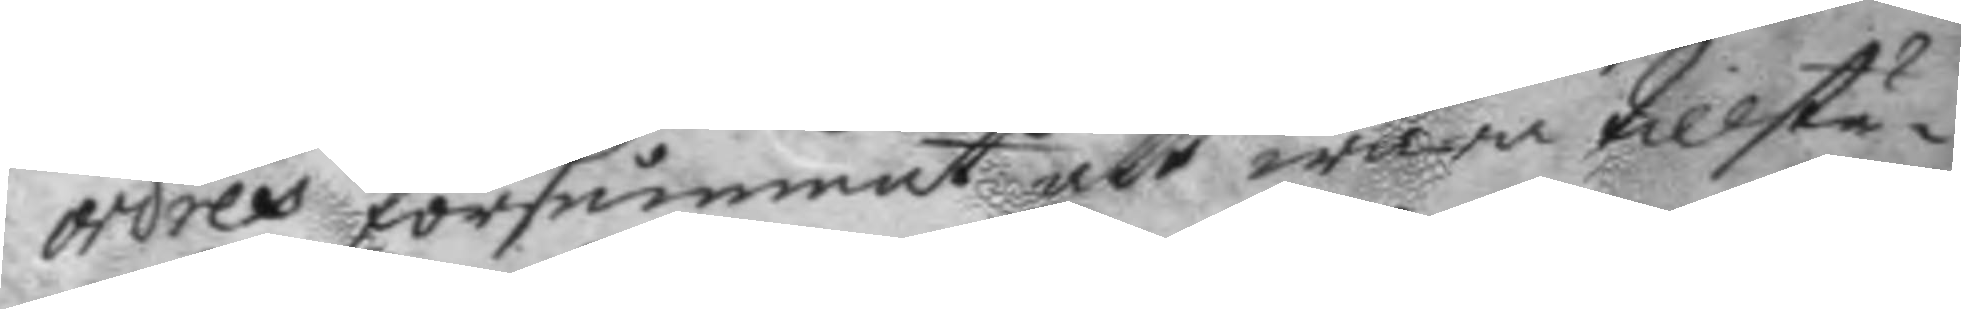ordres försummat att wara tillstä¬
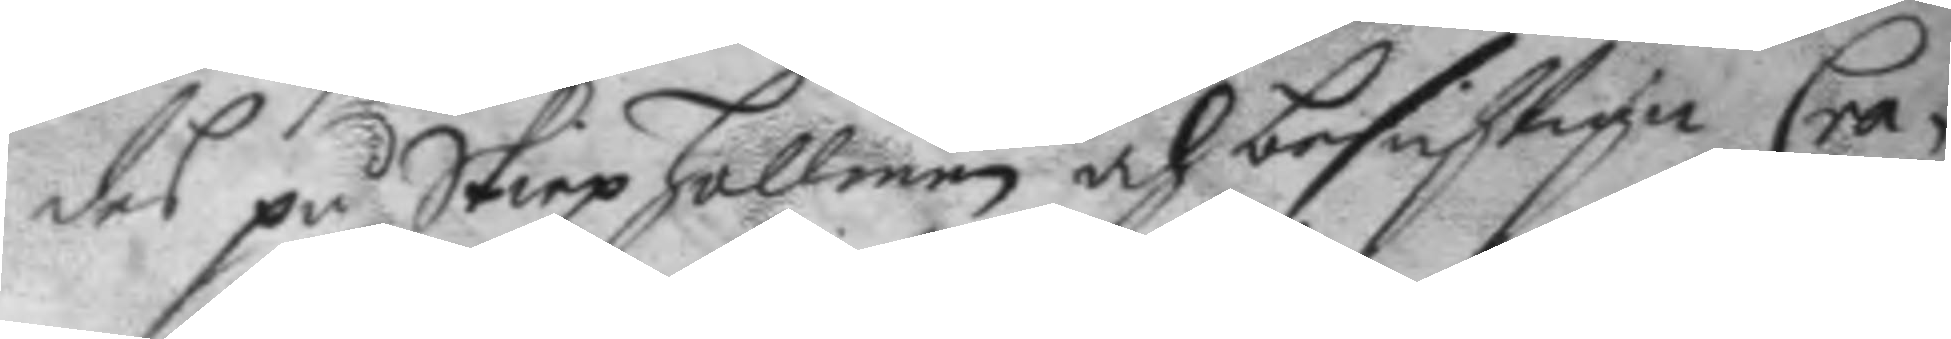des på Skiepzhollmen och besichtiga Cra¬
